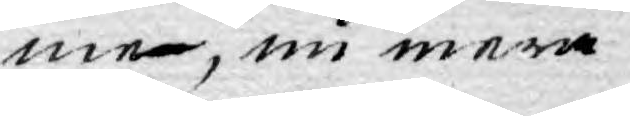me, nu mera
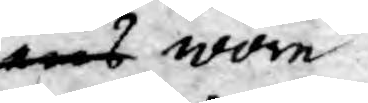ens wore
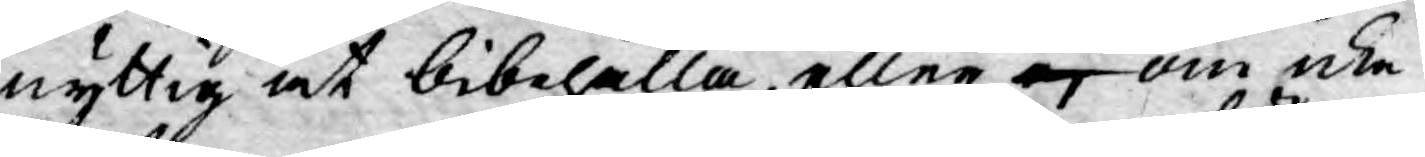nyttig at bibehålla eller ej om icke
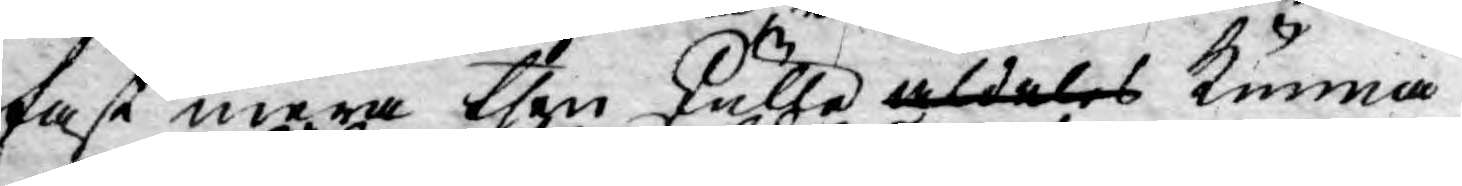fast mera then skulle aldeles kunna
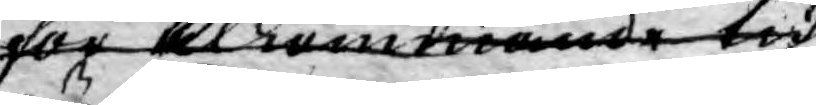för tilkommande tid
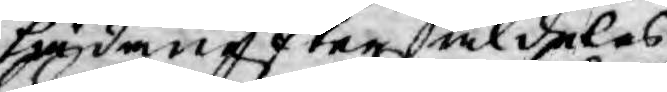hädan efter aldeles,
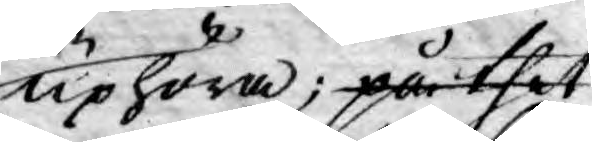uphöra; på thet
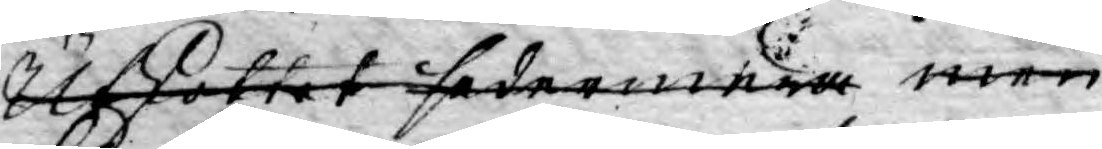Utskottet sedermera men
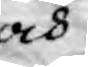och
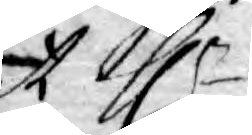at Hr
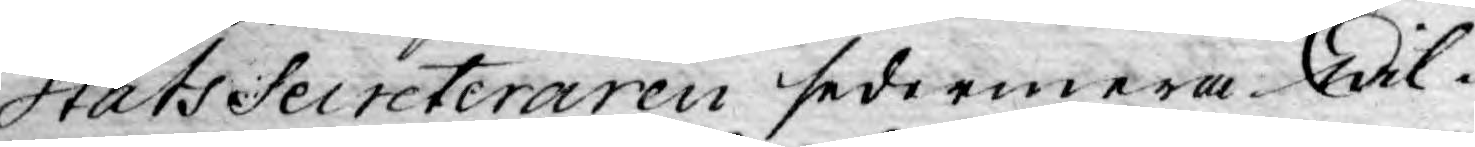Stats Secreteraren sedermera wil-
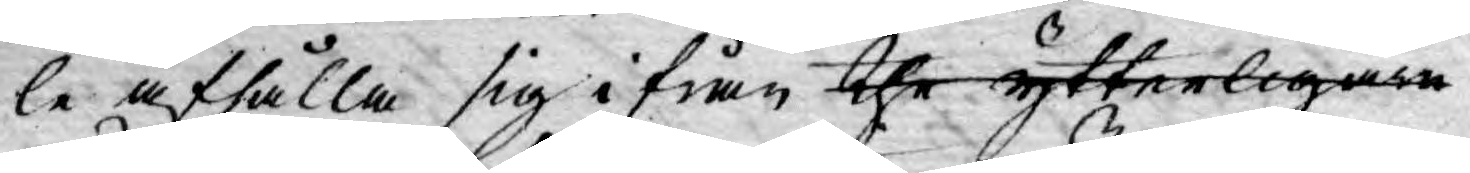le afhålla sig ifrån the ytterligare
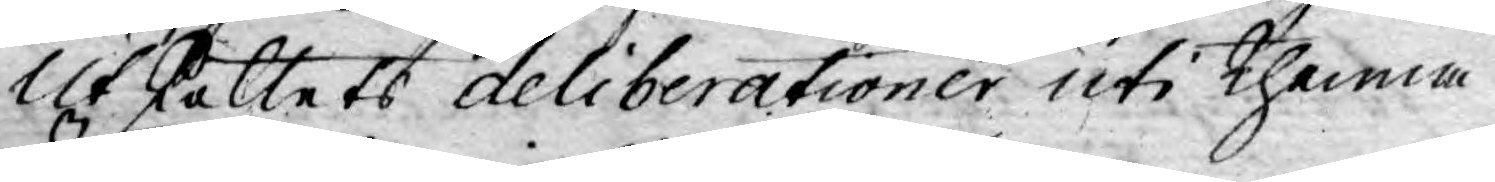Utskottets deliberationer uti thenna
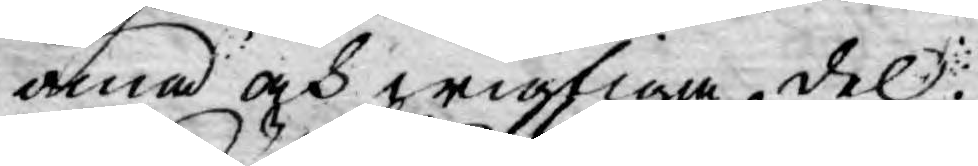öma och wigtiga del.
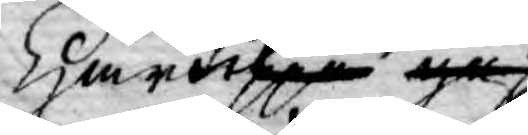Härupå gaf
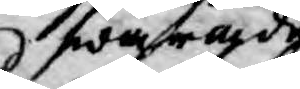swarade
